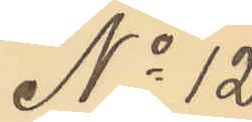No 12
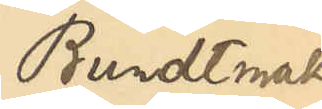Bundtmaka¬
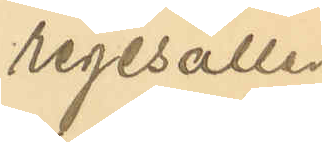regesällen
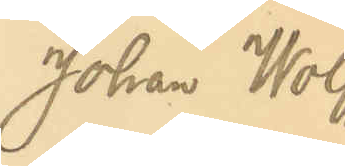Johan Wolff
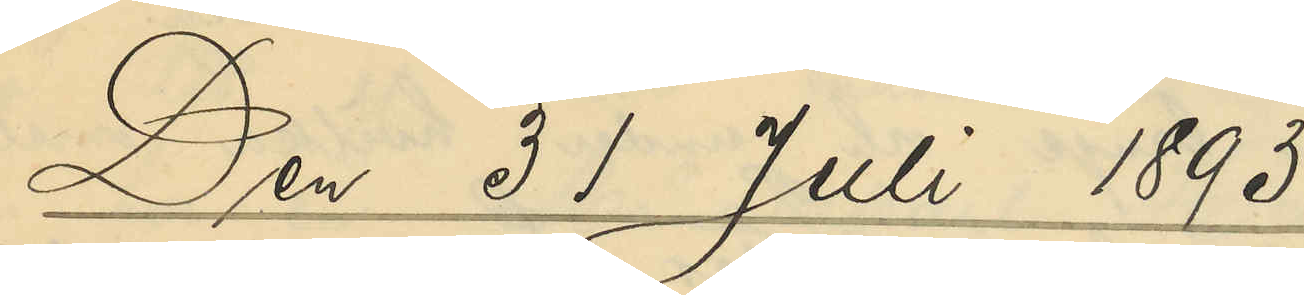Den 31 Juli 1893
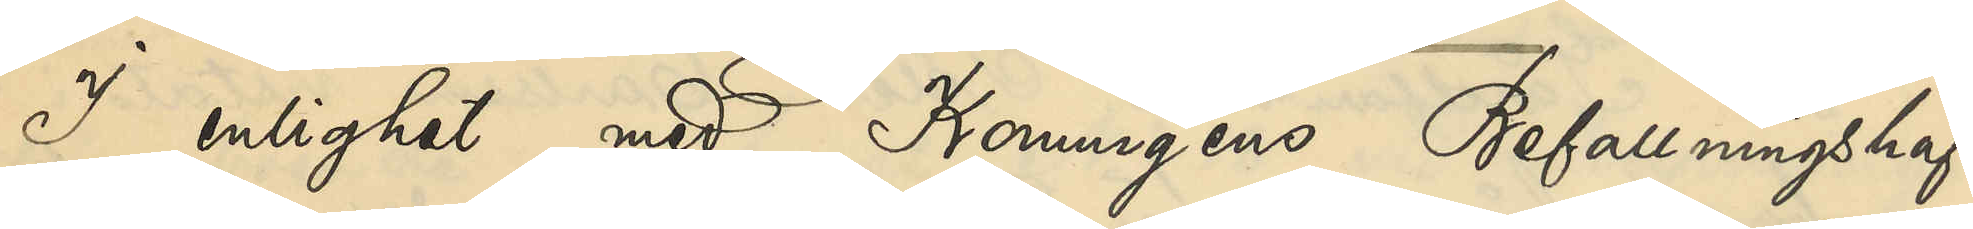I enlighet med Konungens Befallningshaf¬
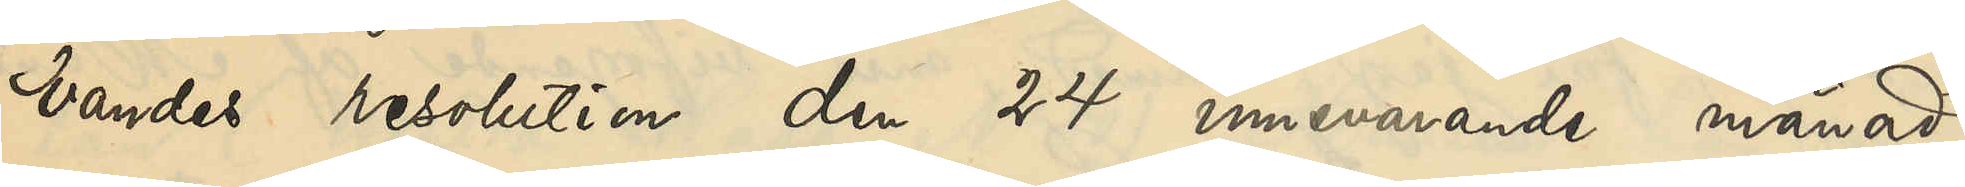vandes resolution den 24 innevarande månad,
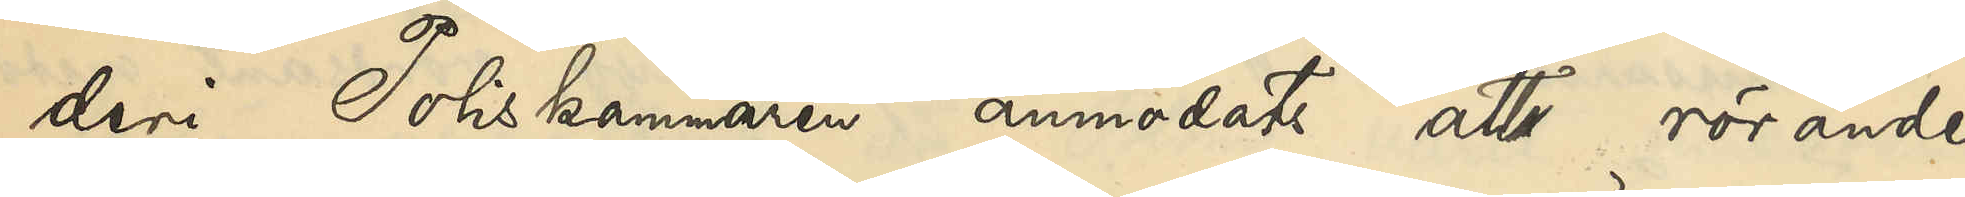deri Poliskammaren anmodats att rörande
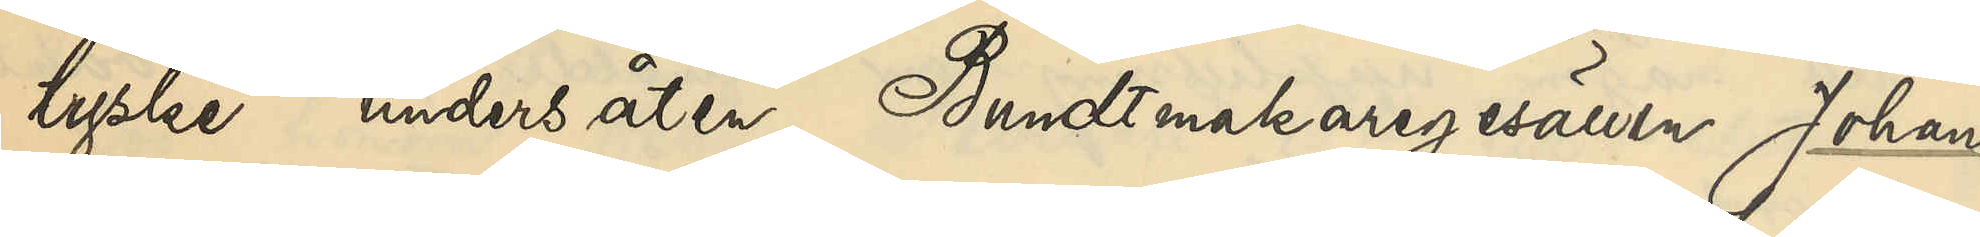tyske undersåten Bundtmakaregesällen Johan
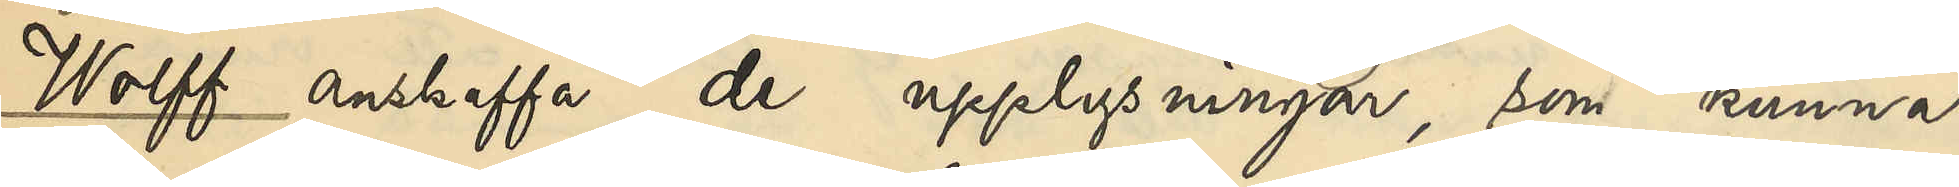Wolff anskaffa de upplysningar, som kunna
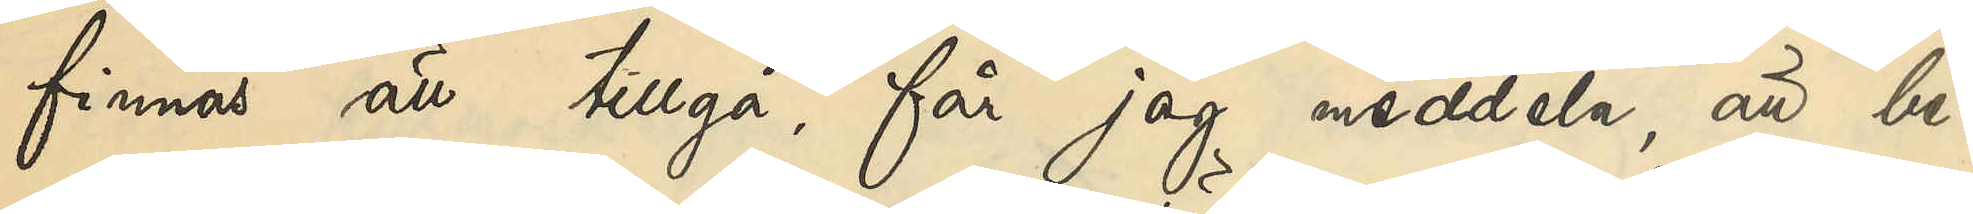finnas att tillgå, får jag meddela, att be¬
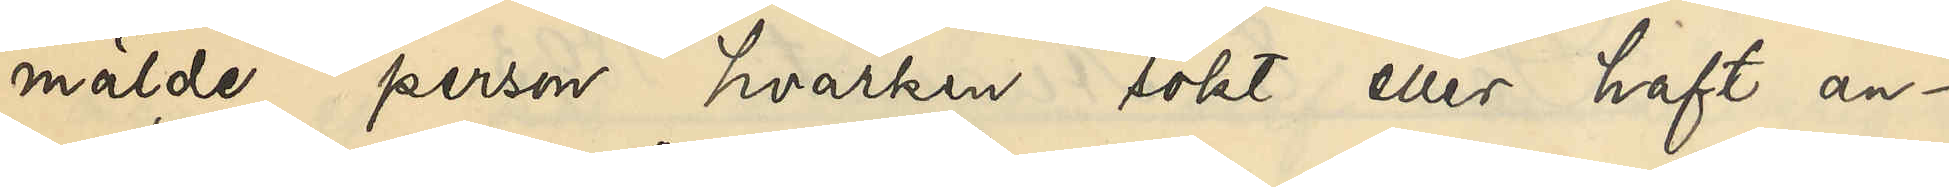mälde person hvarken sökt eller haft an¬
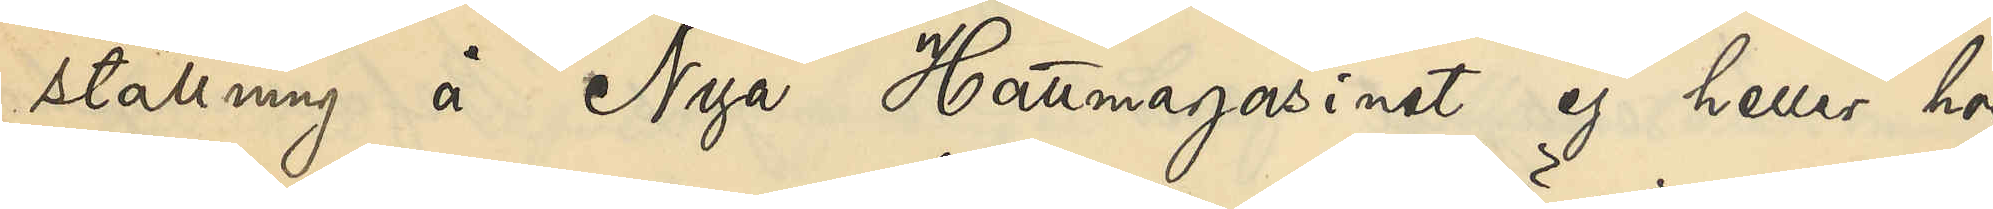ställning å Nya Hattmagasinet ej heller hos
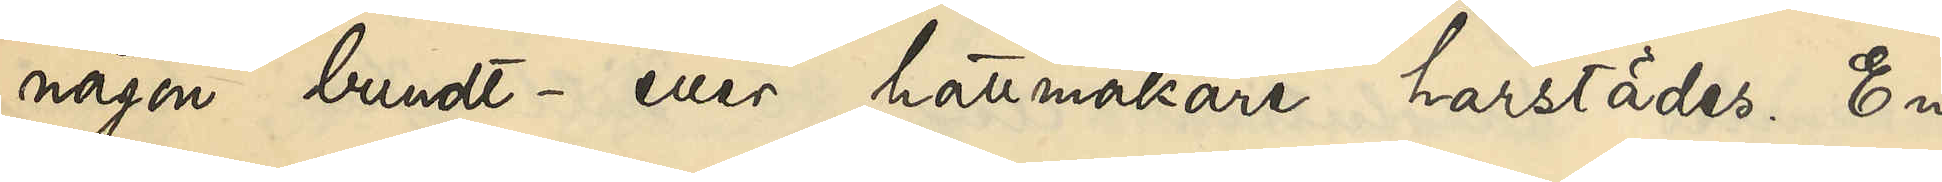någon bundt- eller hattmakare härstädes. En
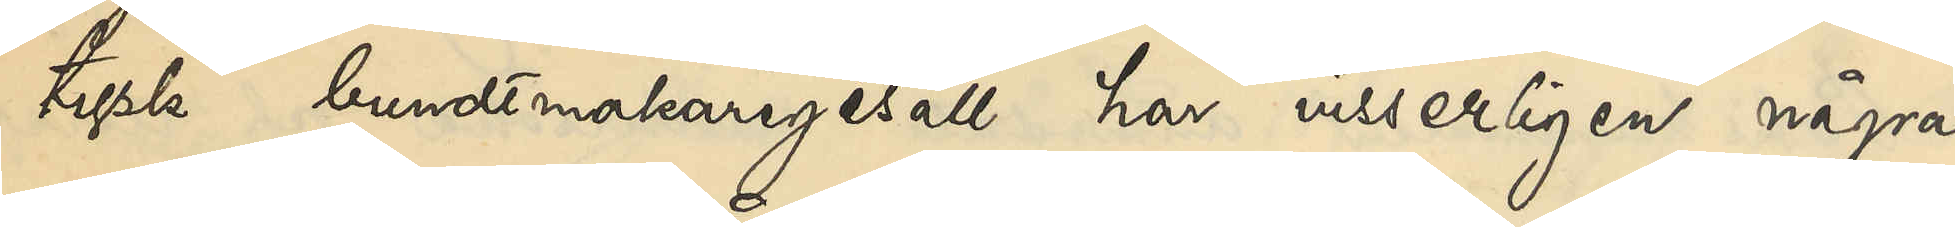tysk bundtmakaregesäll har visserligen några
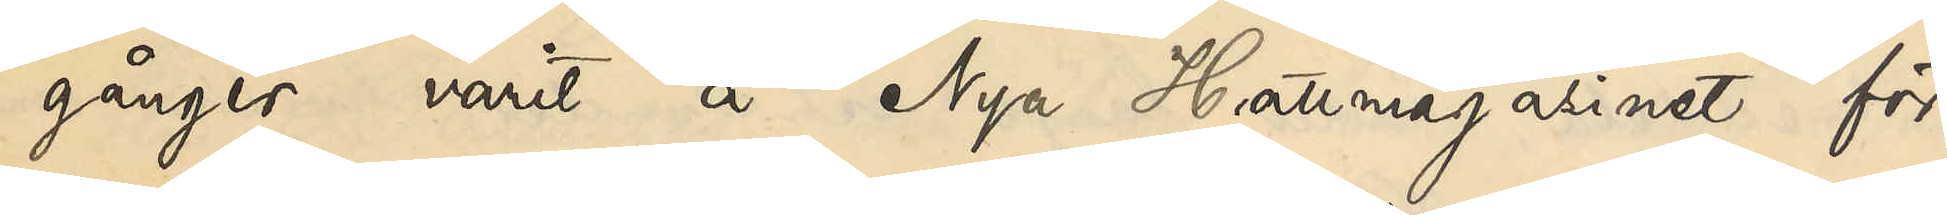gånger varit å Nya Hattmagasinet för
